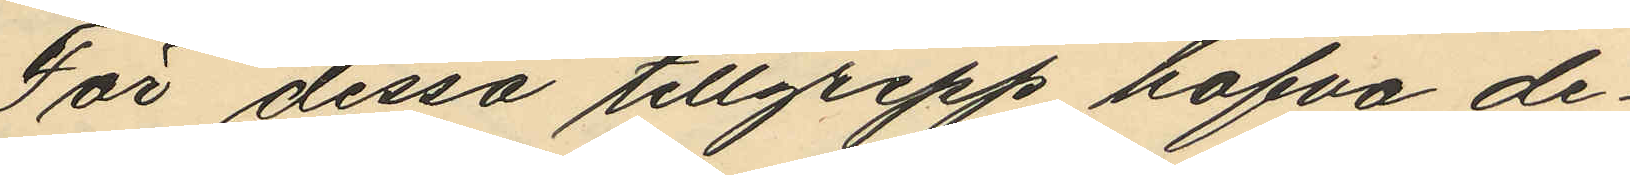För dessa tillgrepp hafva de¬
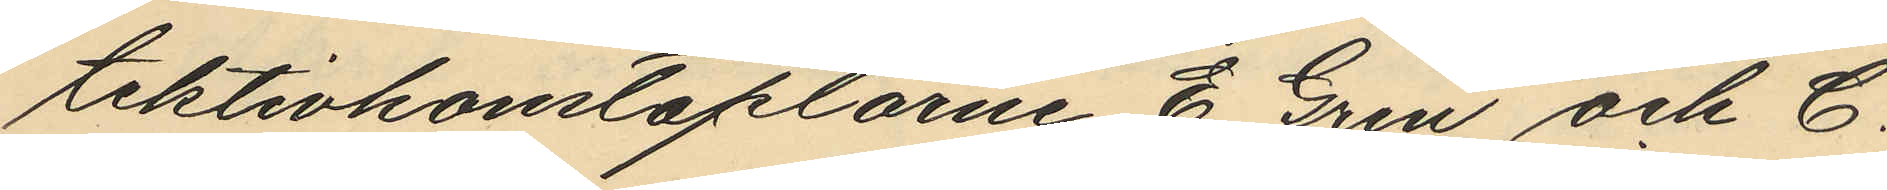tektivkonstaplarne E. Gren och C.
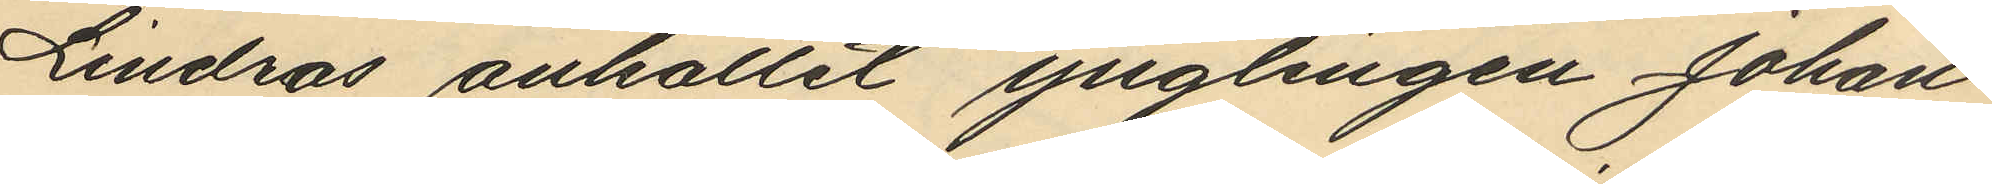Lindros anhållit ynglingen Johan
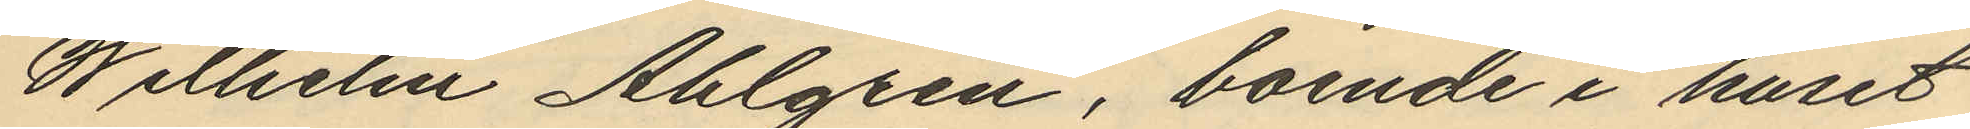Wilhelm Ahlgren, boende i huset
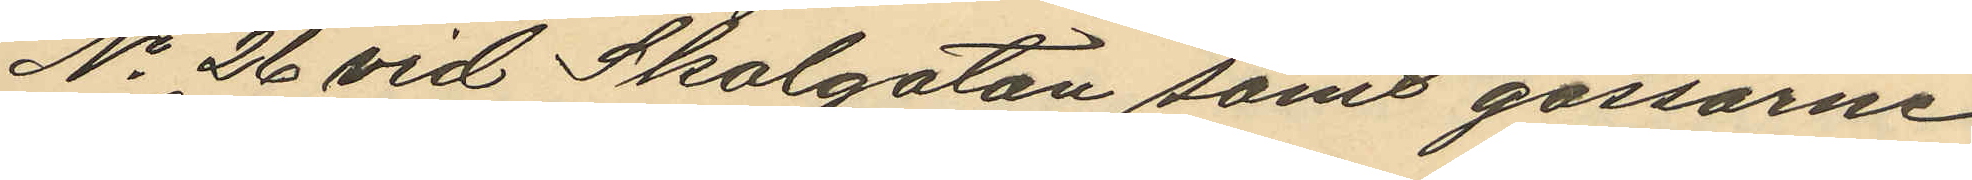No 26 vid Skolgatan samt gossarne
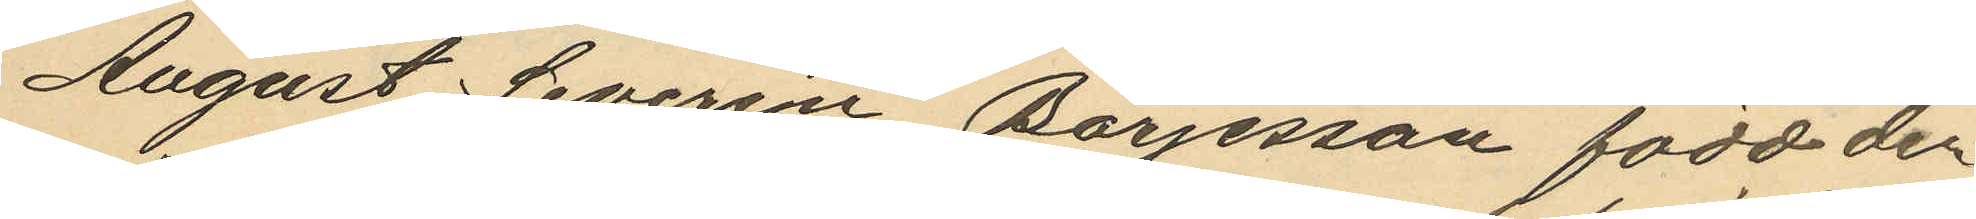August Severin Börjesson född den
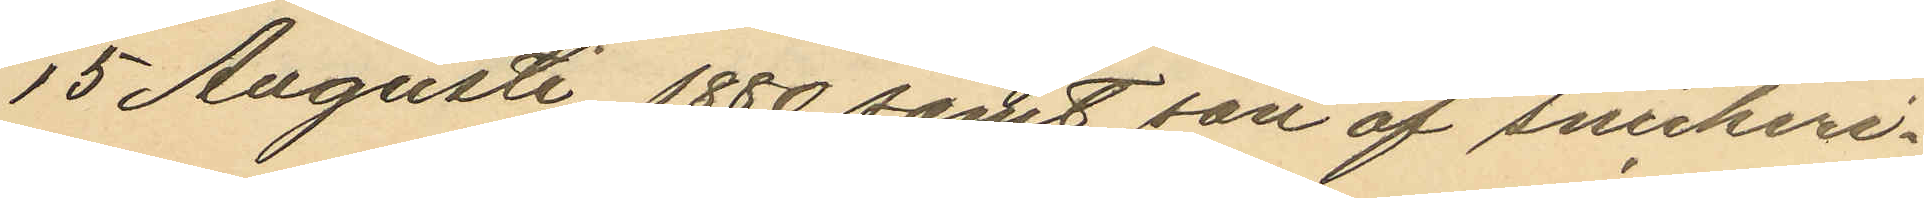15 Augusti 1880 samt son af snickeri¬
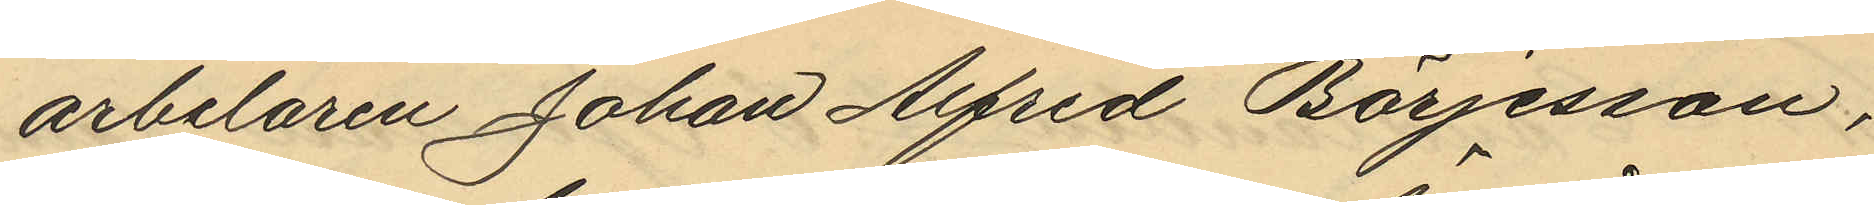arbetaren Johan Alfred Börjesson,
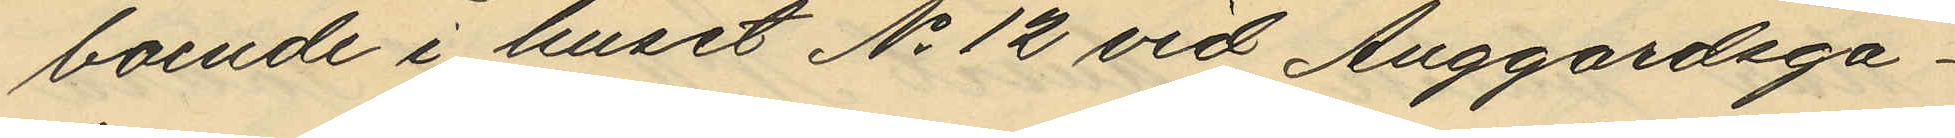boende i huset No 12 vid Änggårdsga¬
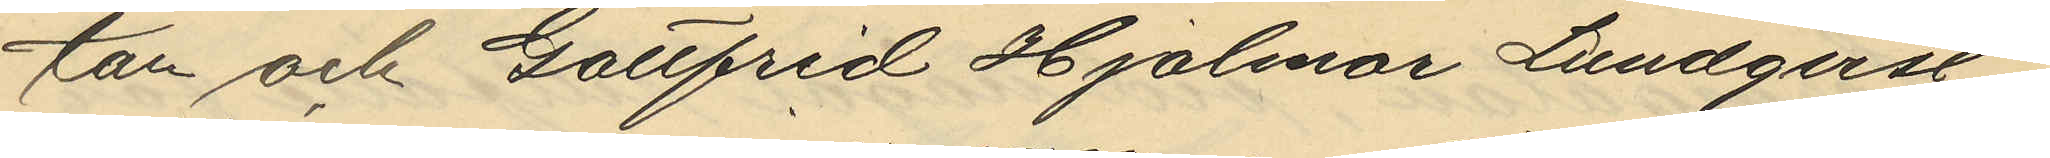tan och Gottfrid Hjalmar Lundqvist
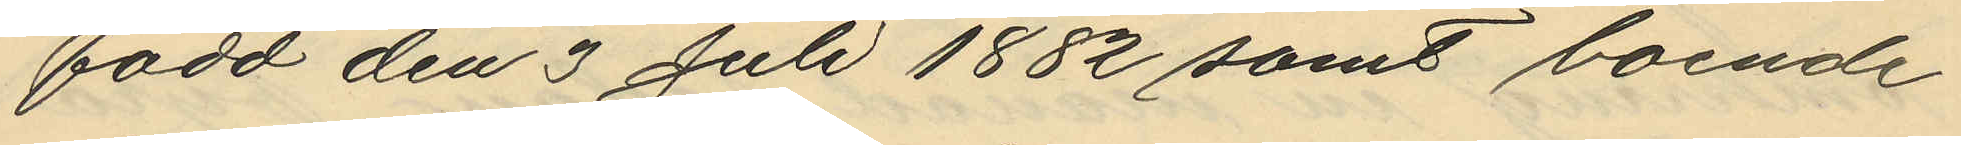född den 3 Juli 1882 samt boende
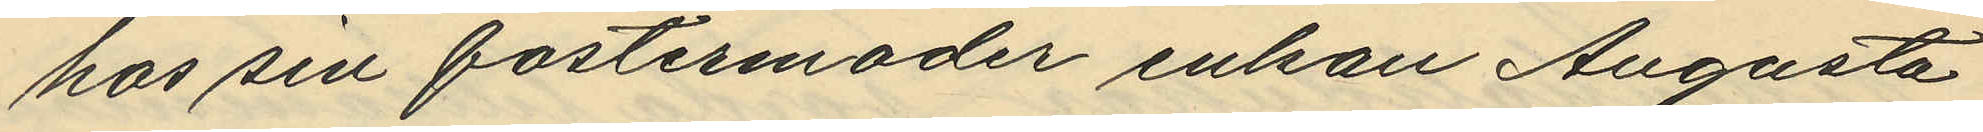hos sin fostermoder enkan Augusta
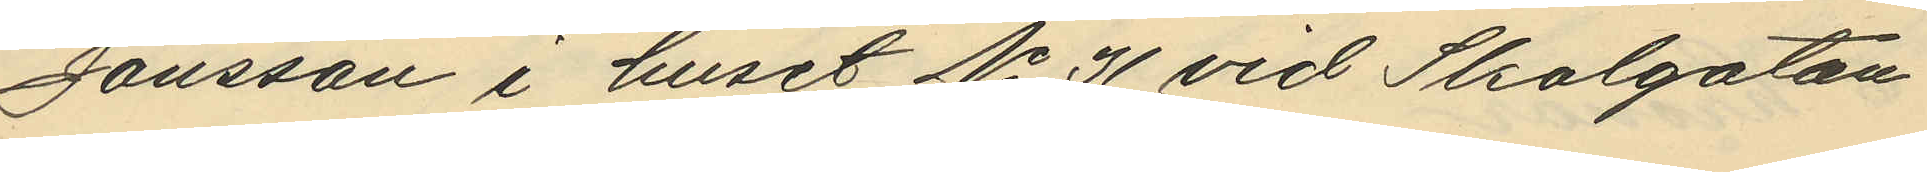Jonsson i huset No 31 vid Skolgatan
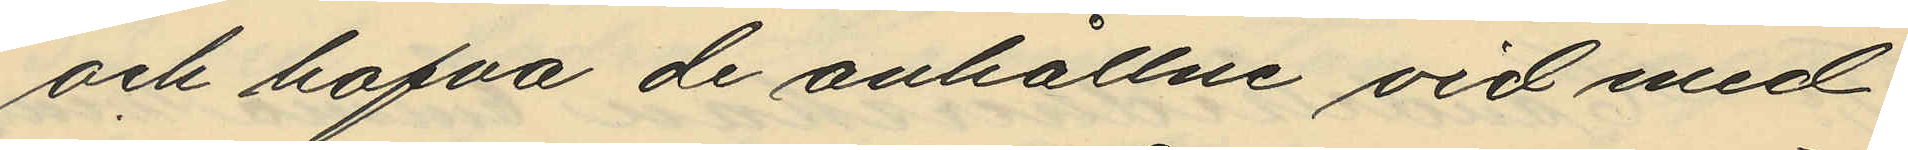och hafva de anhållne vid med
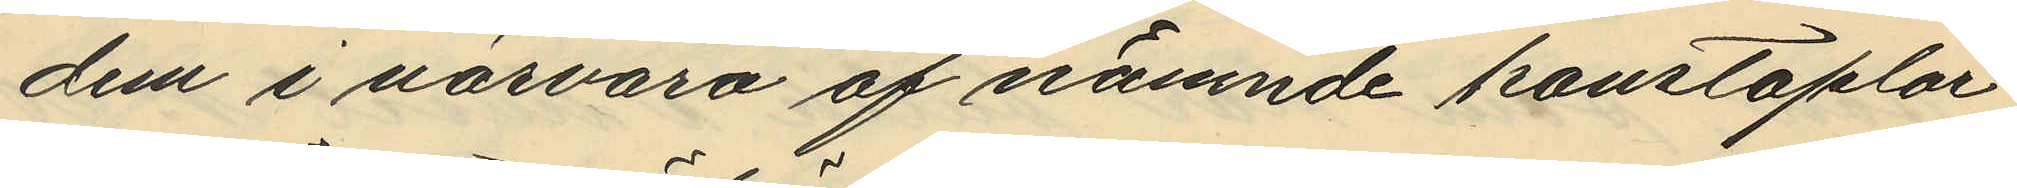dem i närvaro af nämnde konstaplar
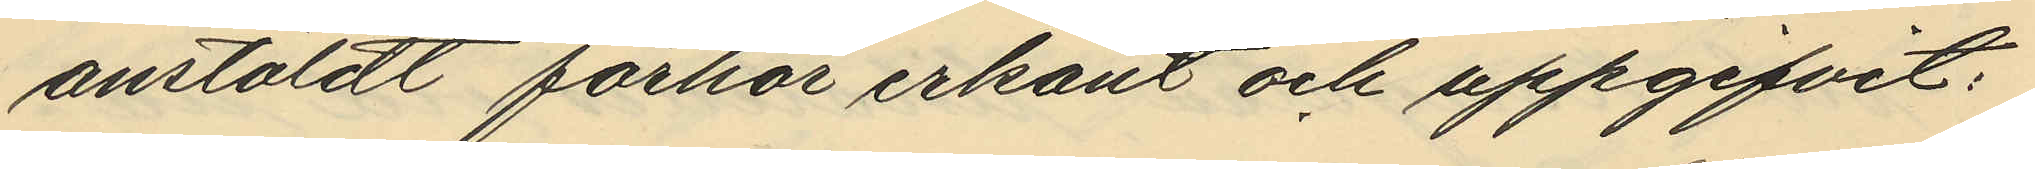anstäldt förhör erkänt och uppgifvit:
